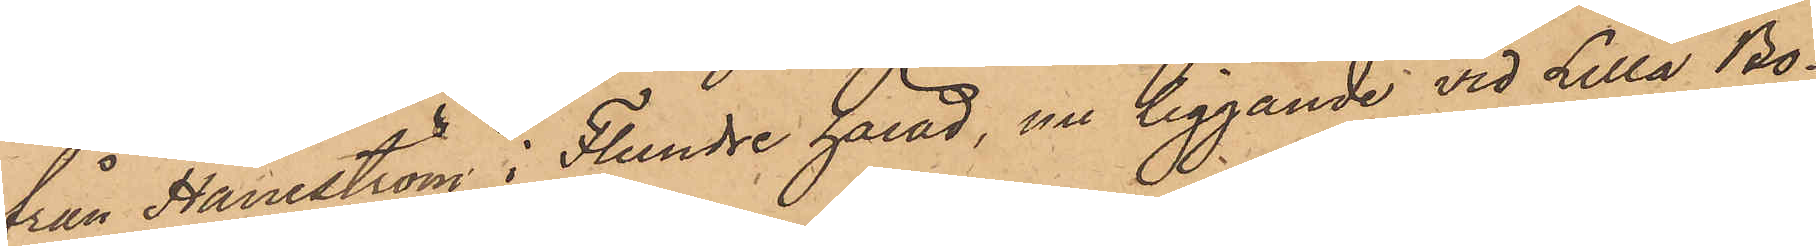från Haneström i Flundre härad, nu liggande vid Lilla Bo¬
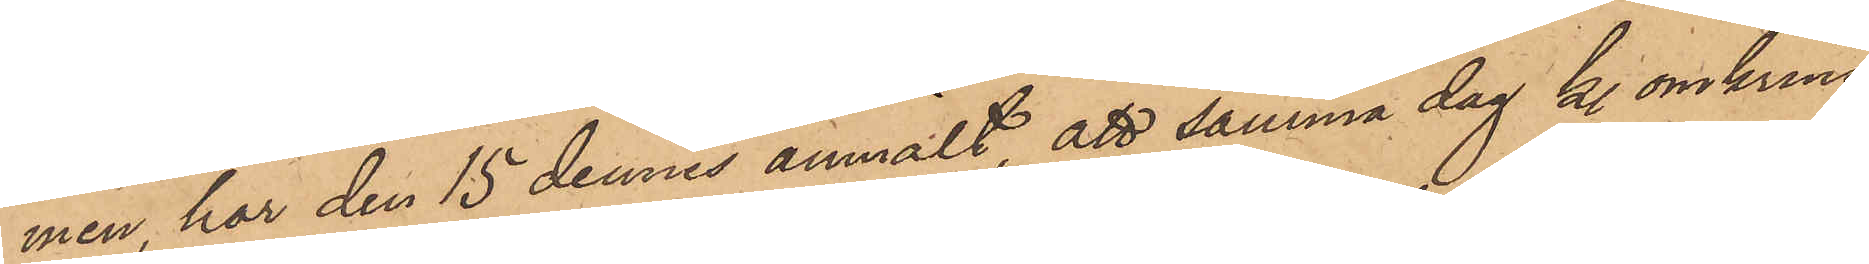men, har den 15 dennes anmält, att samma dag kl omkring
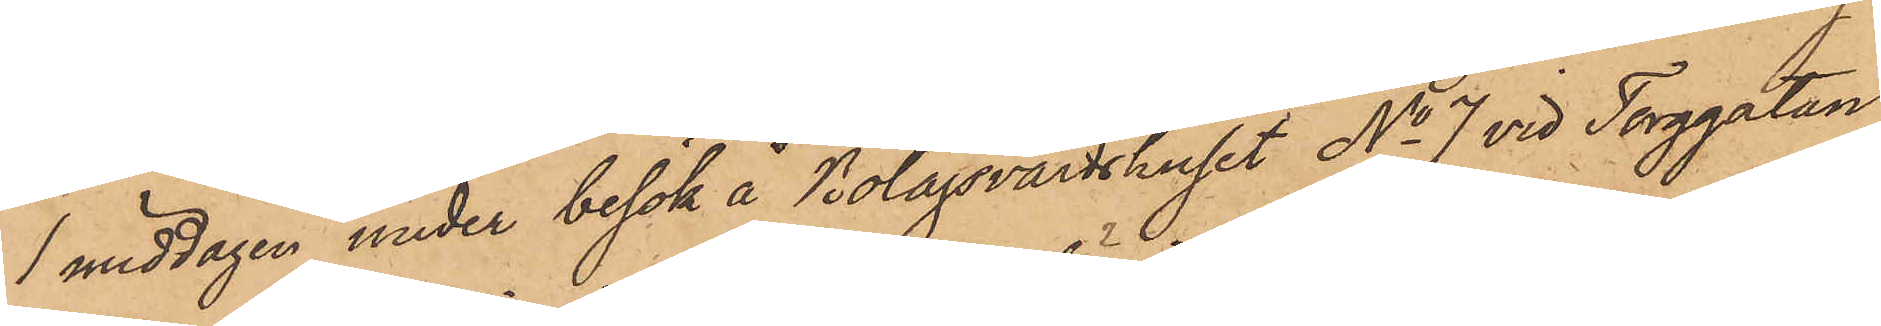1 middagen under besök å Bolagsvärdshuset No 7 vid Torggatan,
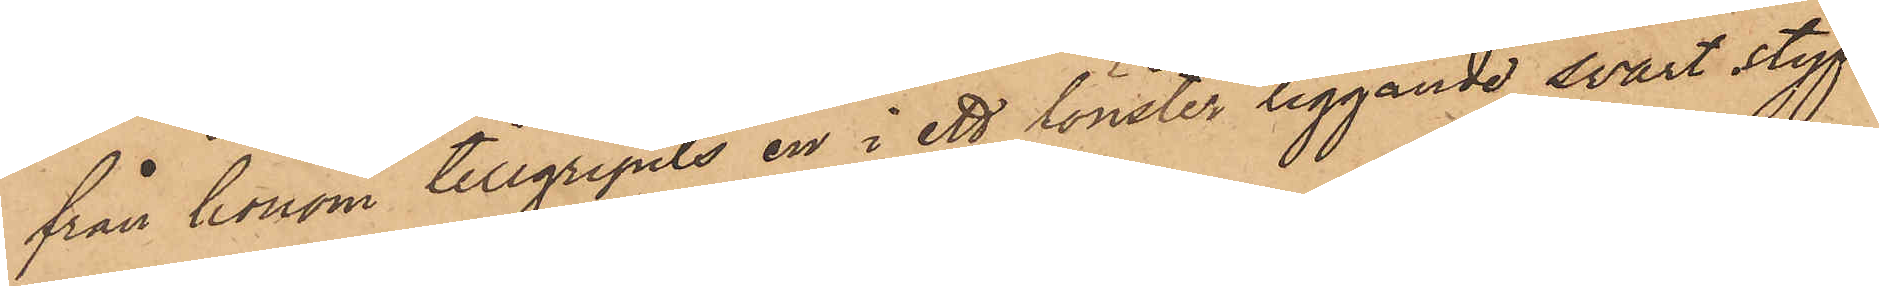från honom tillgripits en i ett fönster liggande svart styf
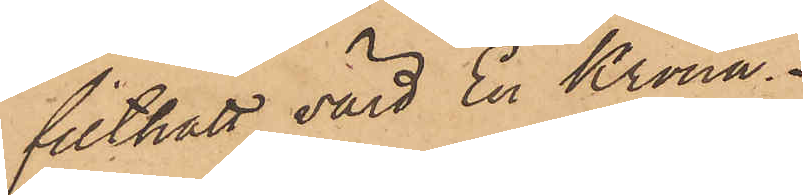filthatt, värd En Krona.
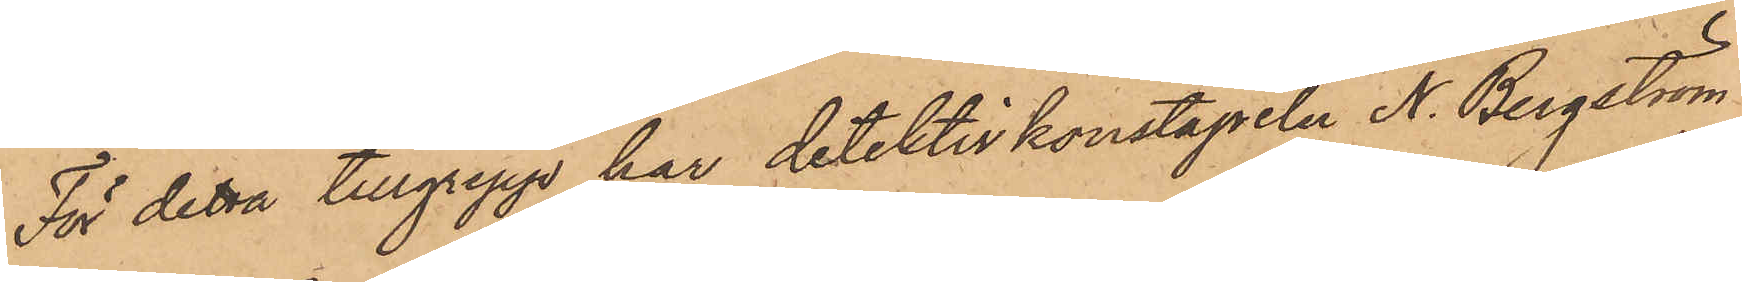För detta tillgrepp har detektivkonstapeln N. Bergström
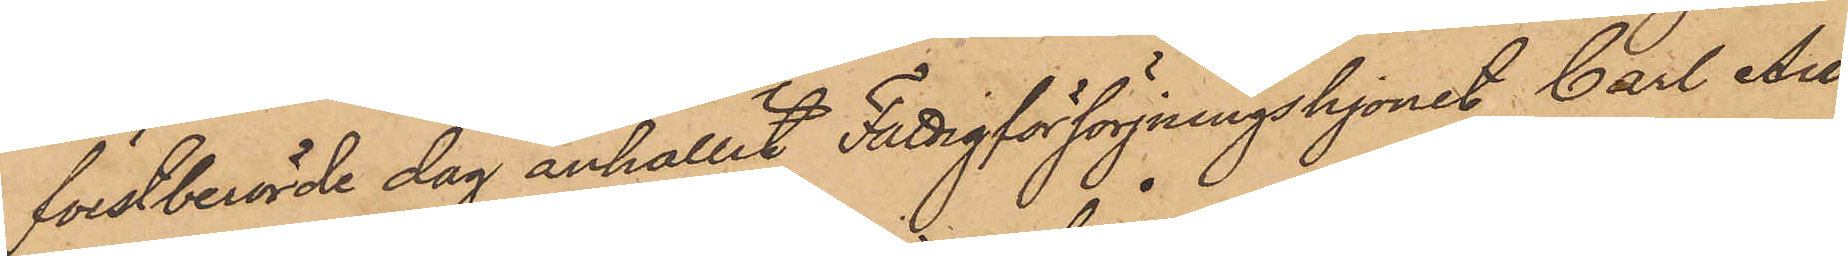förstberörde dag anhållit Fattigförsörjningshjonet Carl Au¬
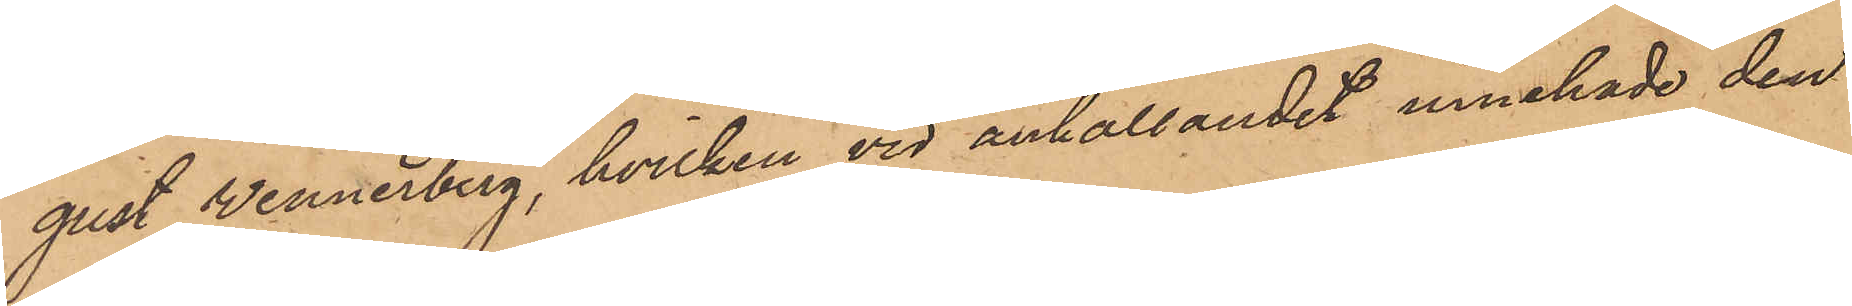gust Wennerberg, hvilken vid anhållandet innehade den
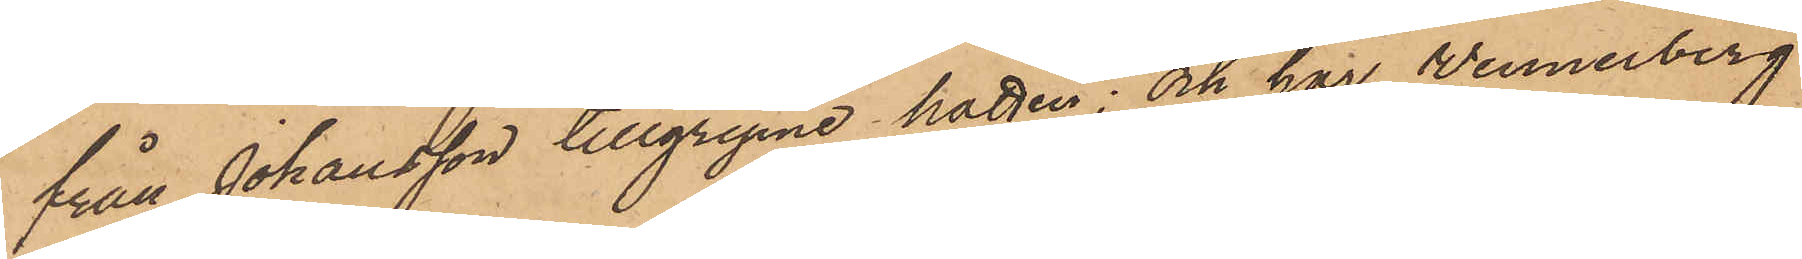från Johansson tillgripne hatten; och har Wennerberg
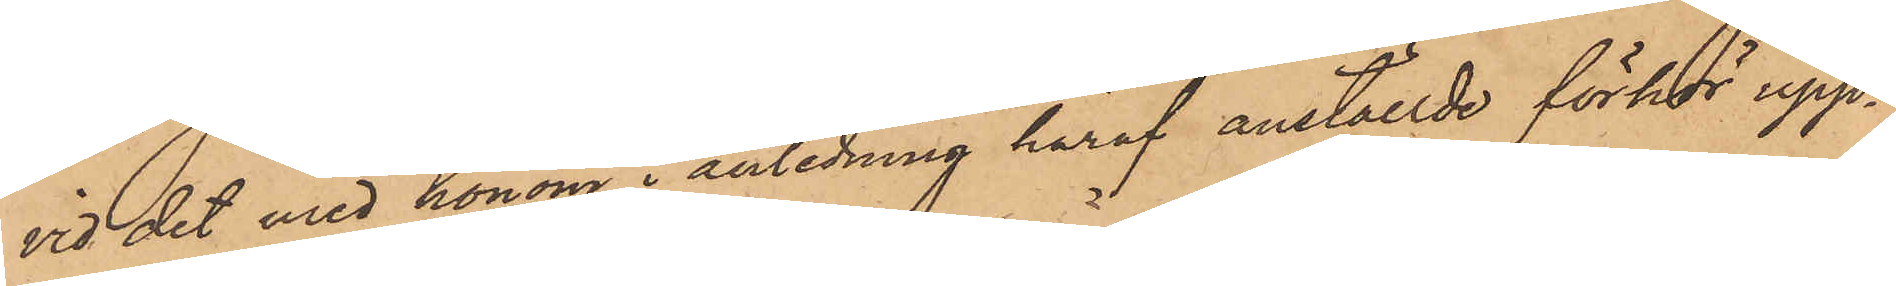vid det med honom i anledning häraf anställde förhör upp¬
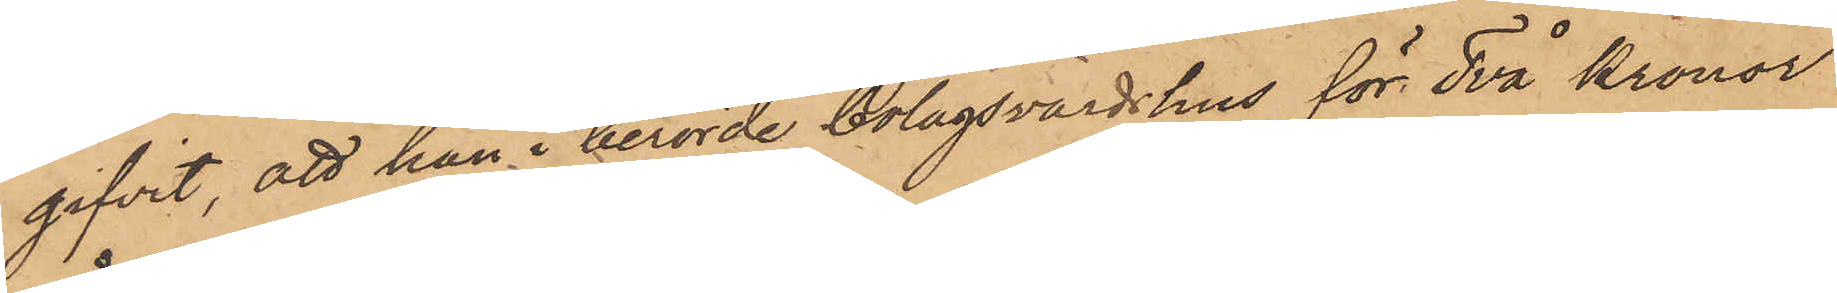gifvit, att han i berörde bolagsvärdshus för Två kronor
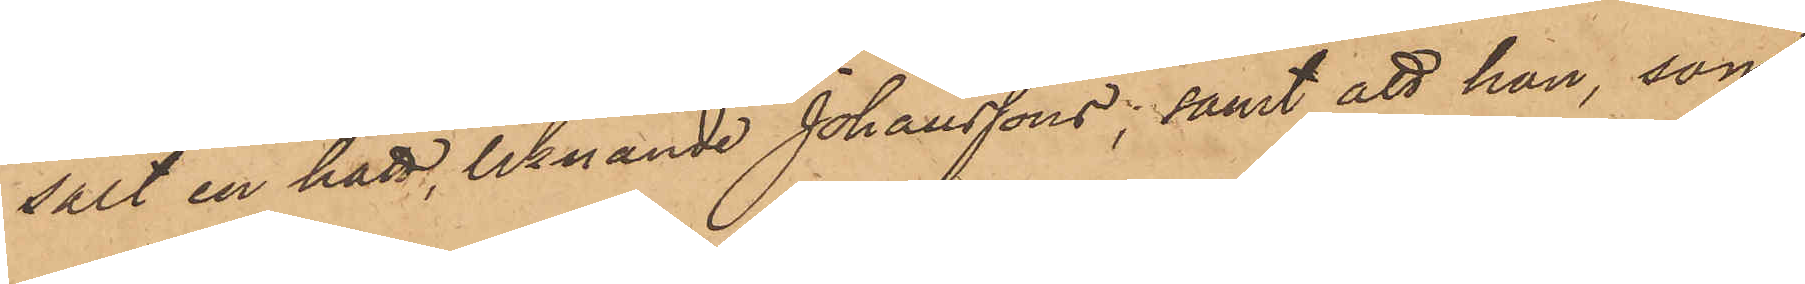sålt en hatt, liknande Johanssons; samt att han, som
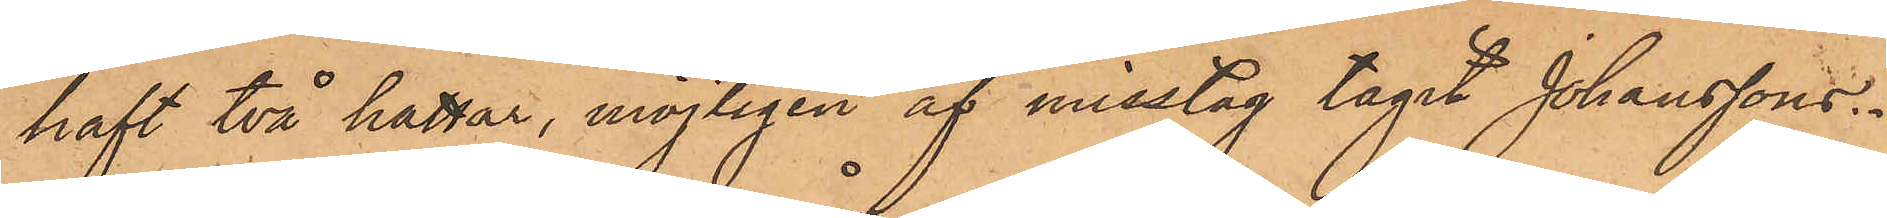haft två hattar, möjligen af misstag tagit Johanssons.
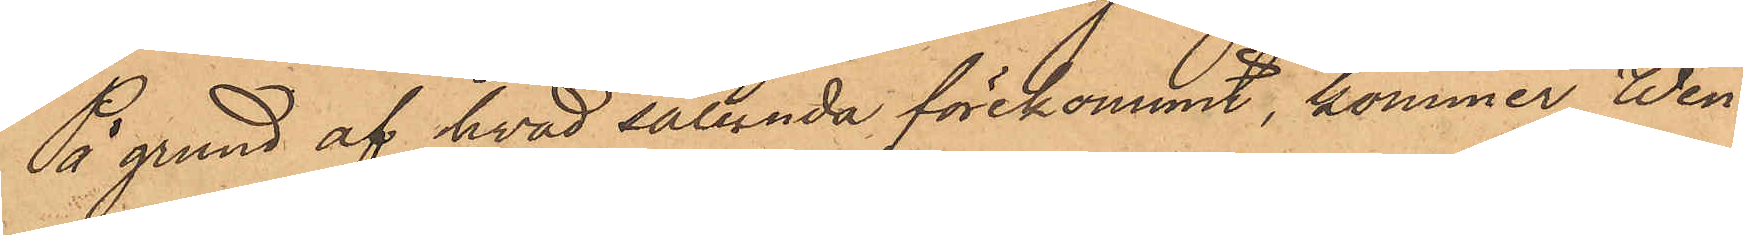På grund af hvad sålunda förekommit, kommer Wen¬
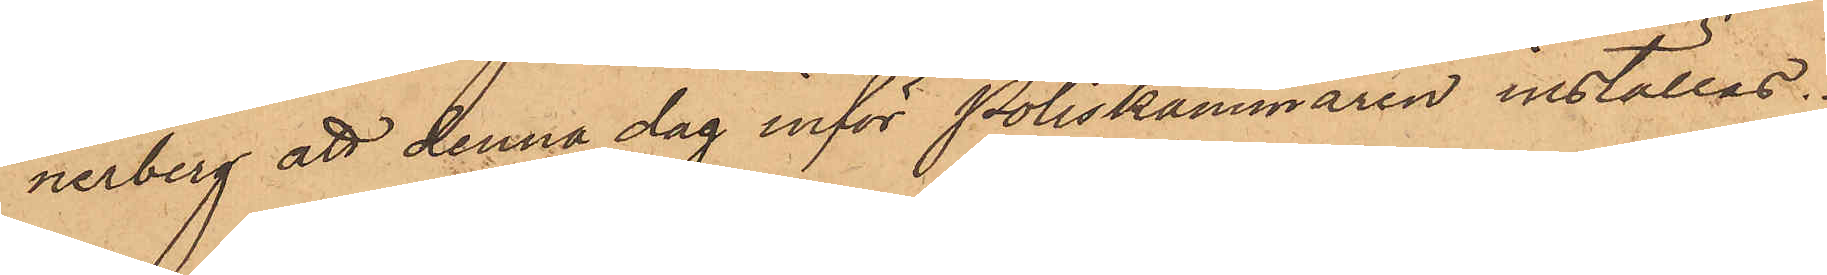nerberg att denna dag inför Poliskammaren inställas.
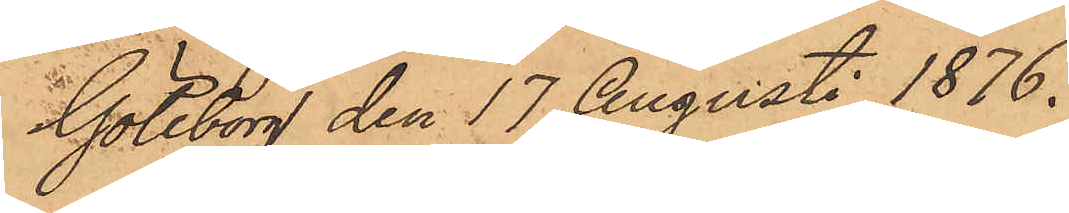Göteborg den 17 Augusti 1876.
